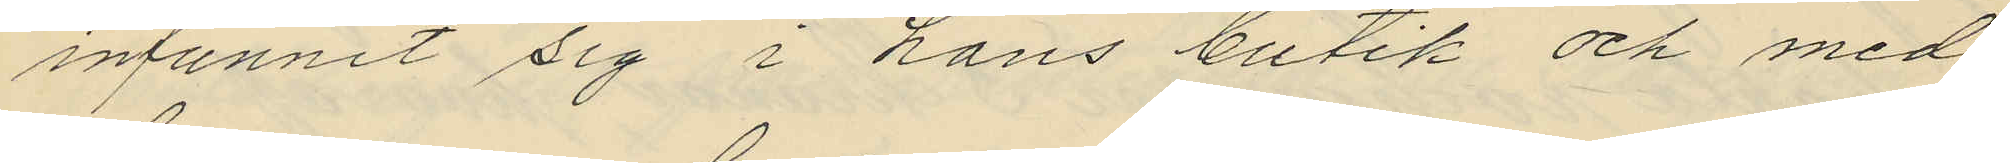infunnit sig i hans butik och med
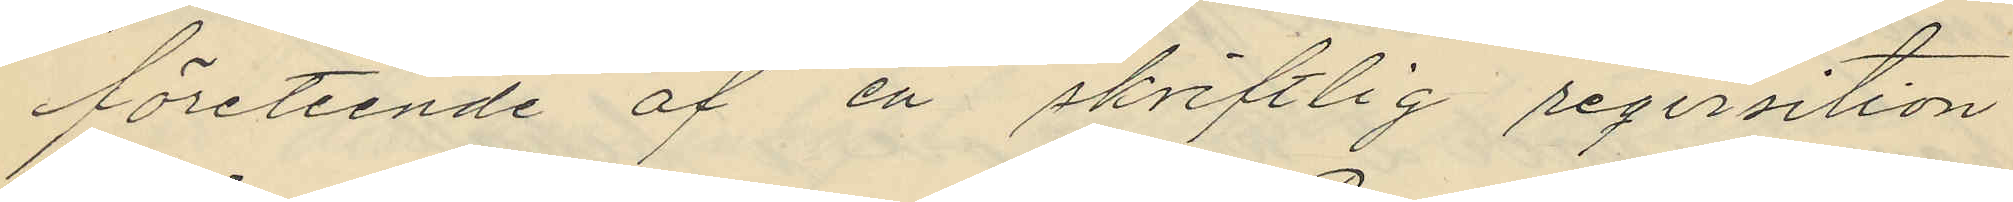företeende af en skriftlig reqvisition
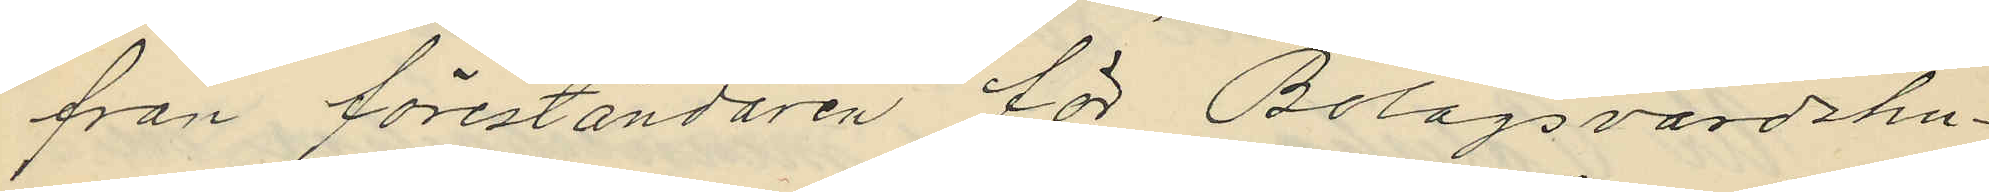från föreståndaren för Bolagsvärdshu¬
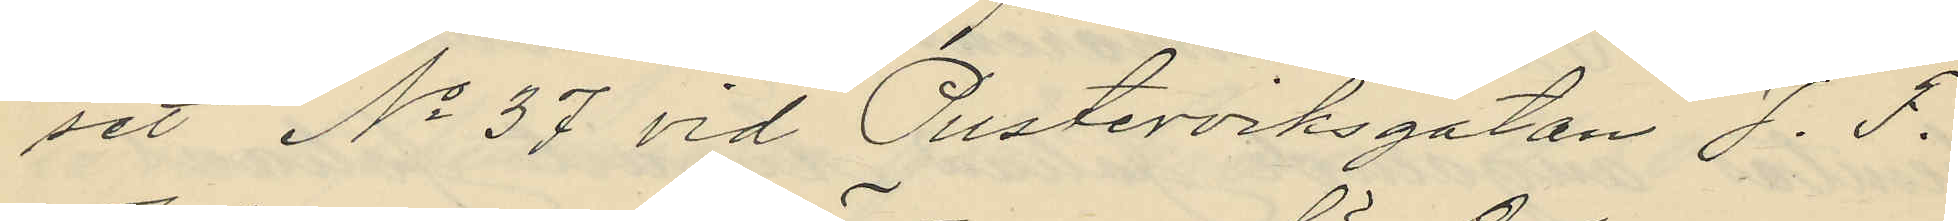set No 37 vid Pusterviksgatan J. F.
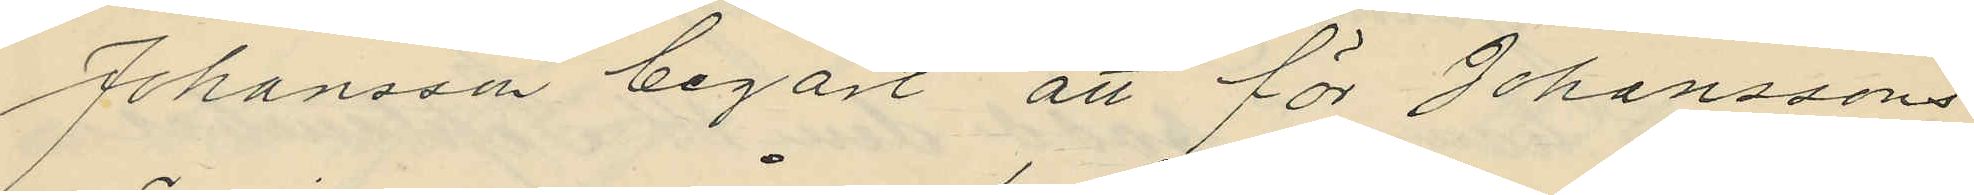Johansson begärt att för Johanssons
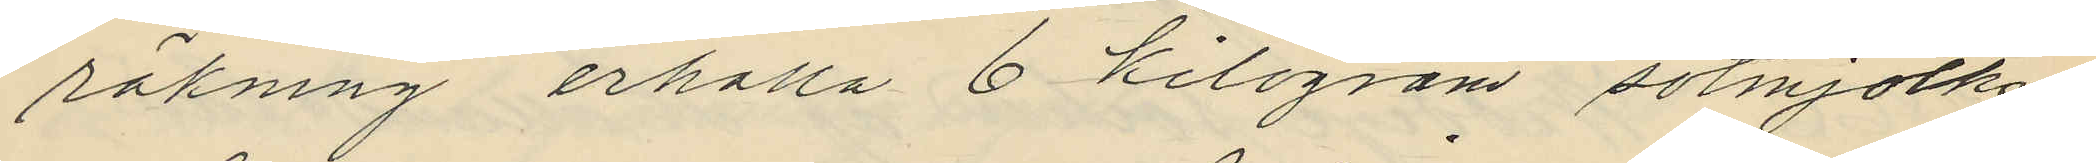räkning erhålla 6 kilogram sötmjölks¬
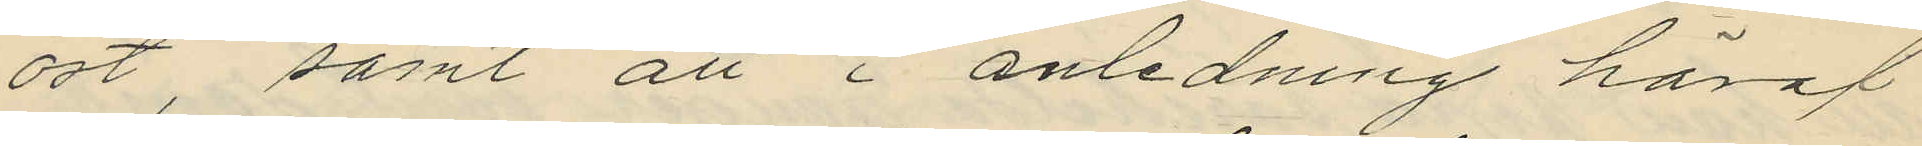ost, samt att i anledning häraf
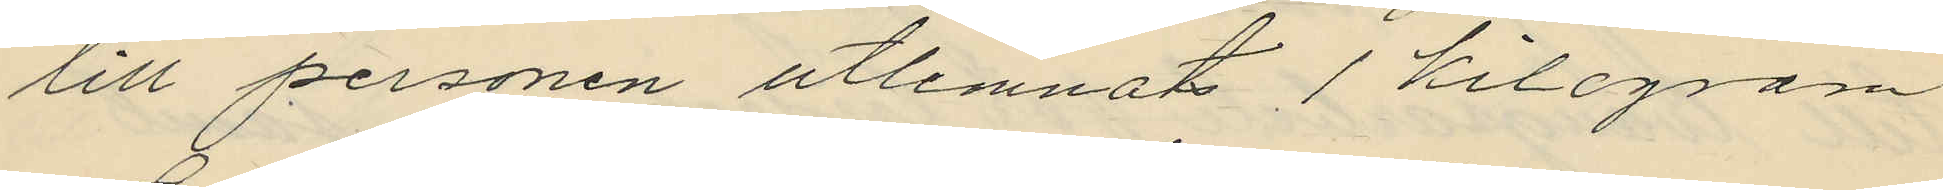till personen utlemnat 1 kilogram
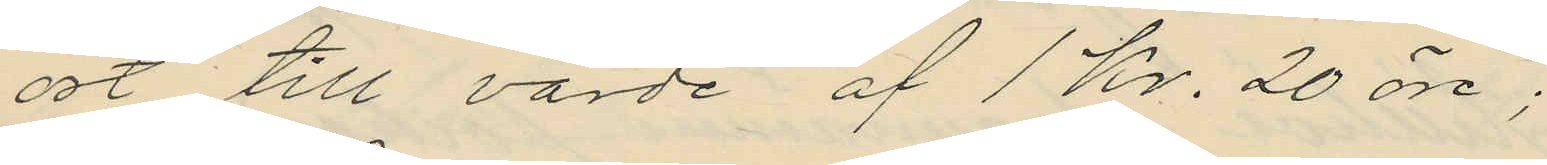ost till värde af 1 Kr. 20 öre;
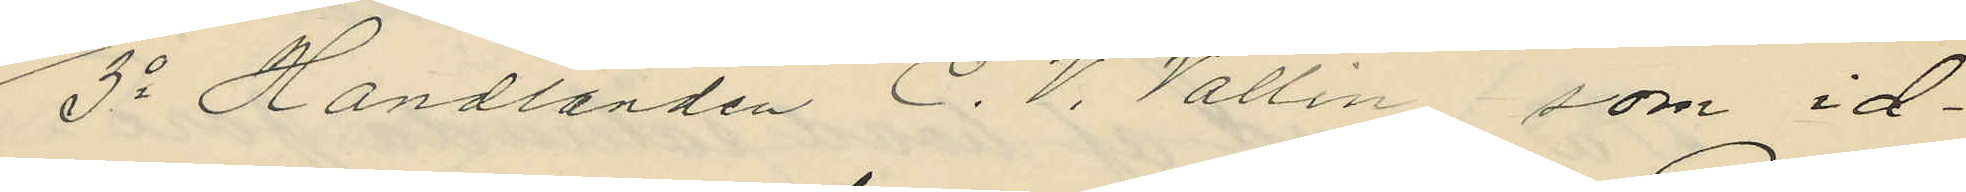3o Handlanden C. V. Vallin, som id¬
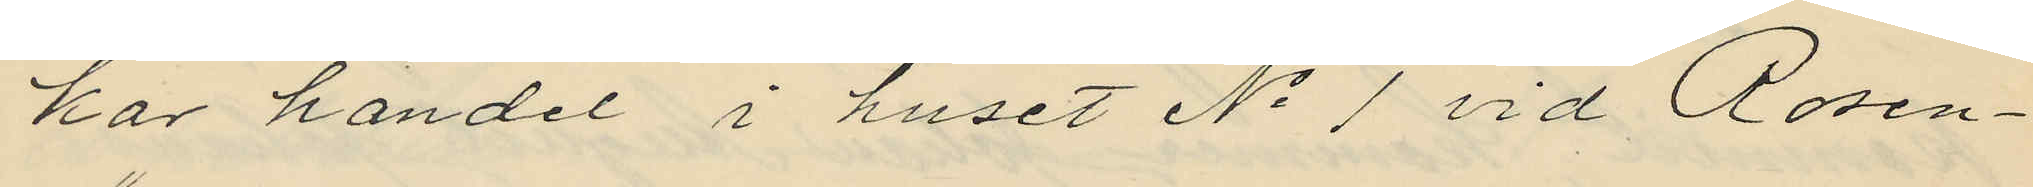kar handel i huset No 1 vid Rosen¬
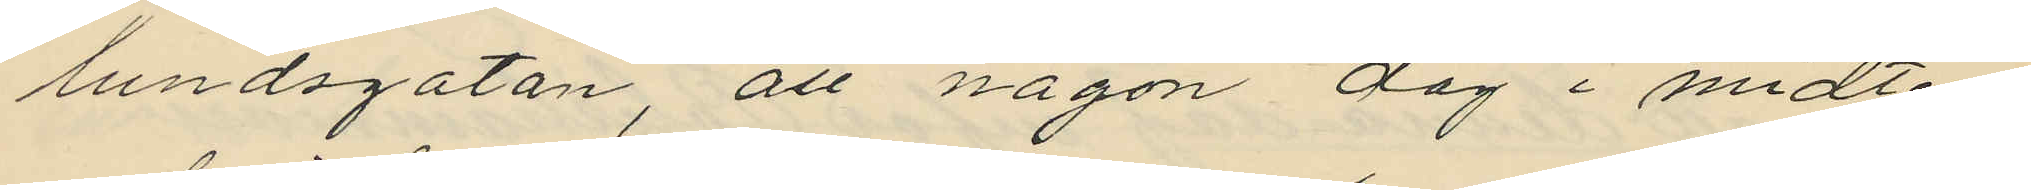lundsgatan, att någon dag i midten
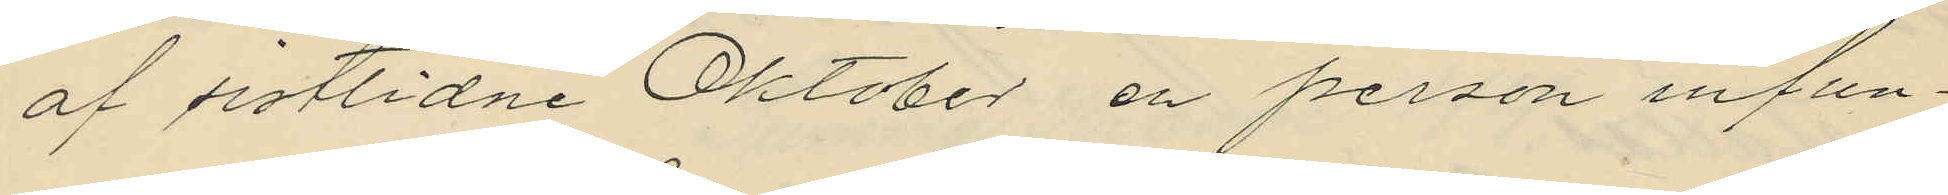af sistlidne Oktober en person infun¬
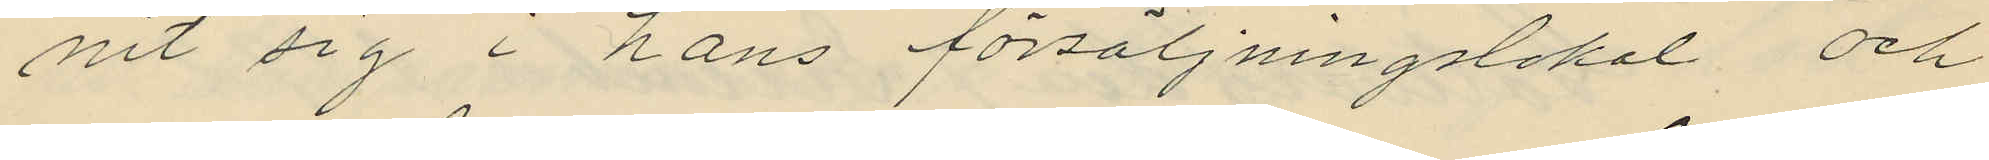nit sig i hans försäljningslokal och
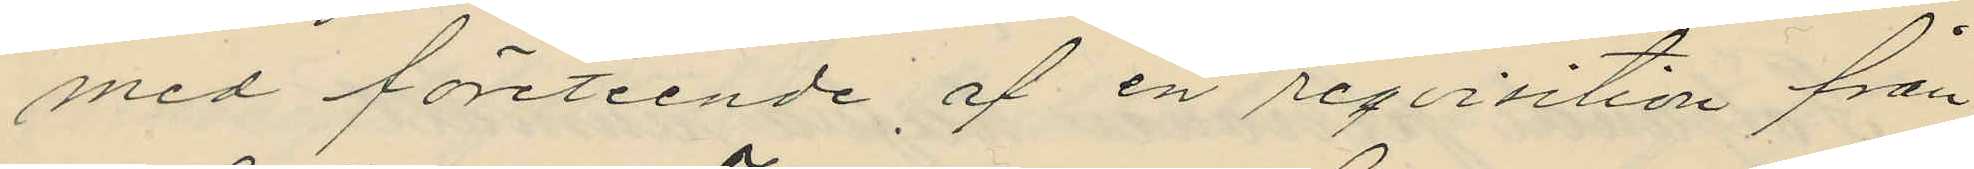med företeende af en reqvisition från
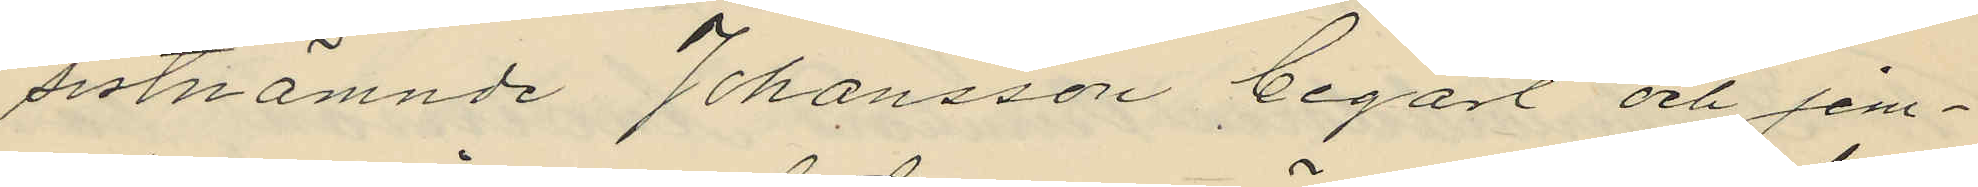sistnämnde Johansson begärt och jem¬
